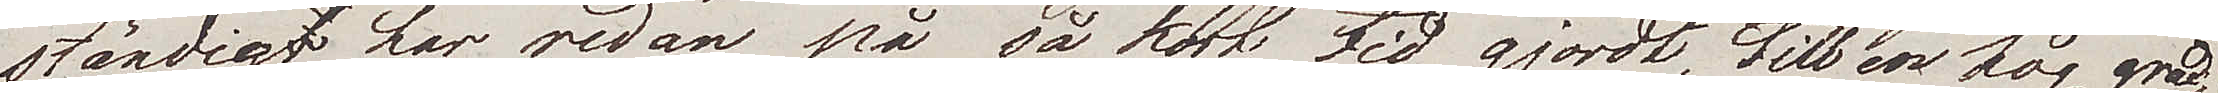ständig har redan på så kort tid gjordt, till en hög grad,
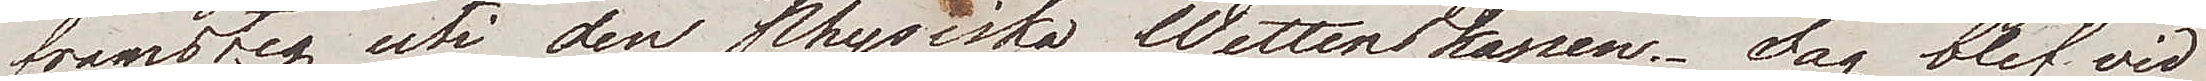framsteg uti den physiska wettenskapen. Jag blef vid
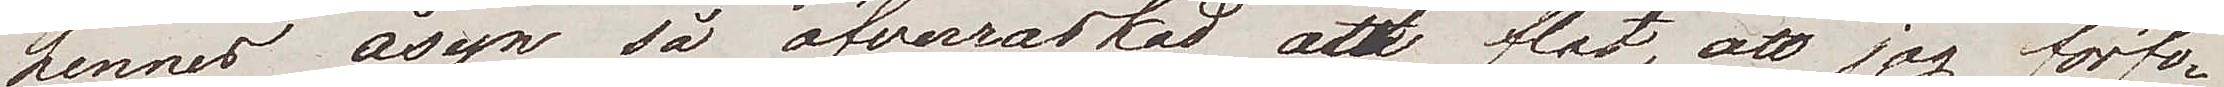hennes åsyn så öfverraskad och flat, att jag förfo¬
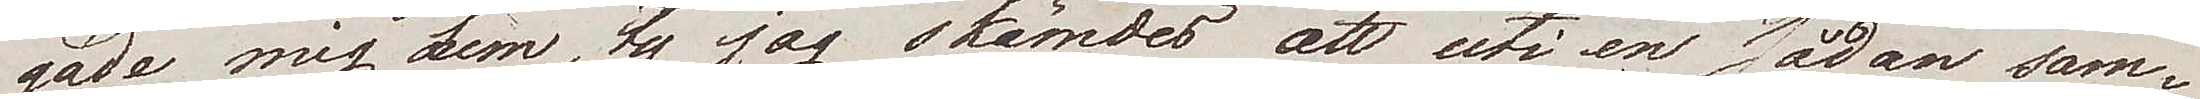gade mig hem, ty jag skämdes att uti en sådan sam¬
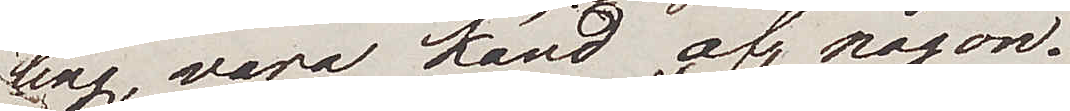ling, vara känd af någon.
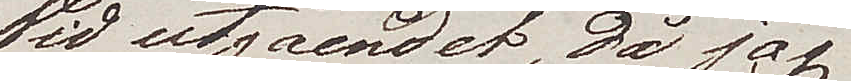Vid utgåendet, då jag
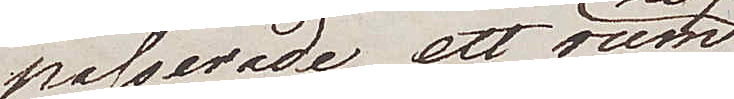passerade ett rum 
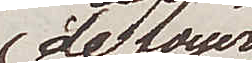de foyer 
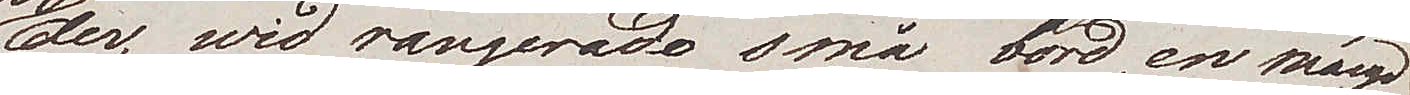der, wid rangerade små bord, en mängd
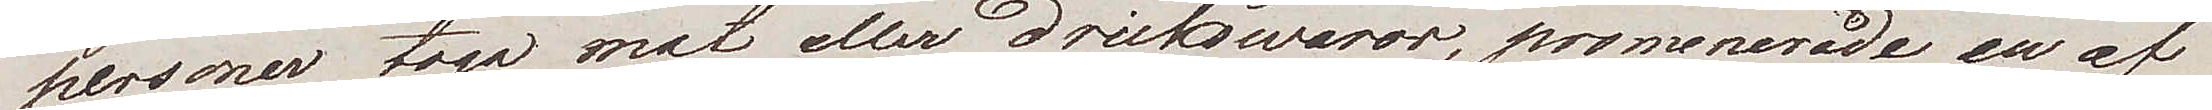personer togo mat eller drickswaror, promenerade en af
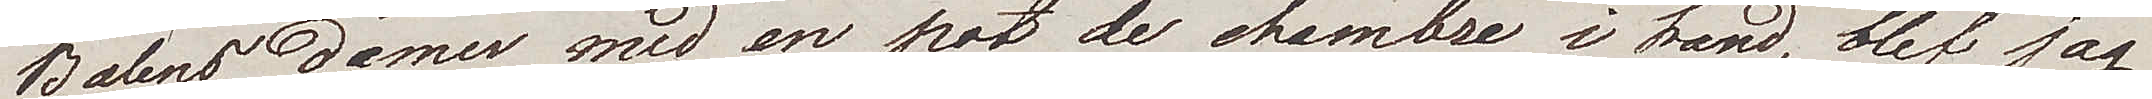Balens damer med en pot de chambre i hand, blef jag
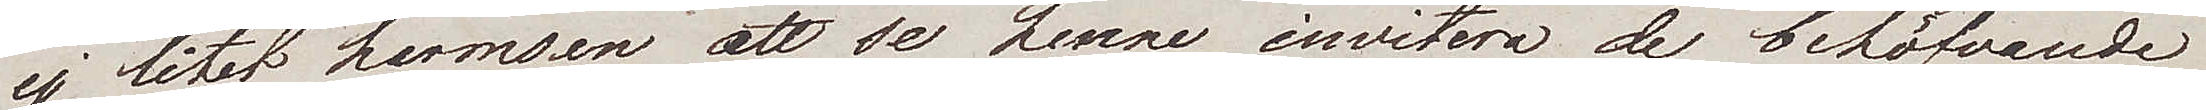ej litet harmsen att se henne invitera de behöfvande
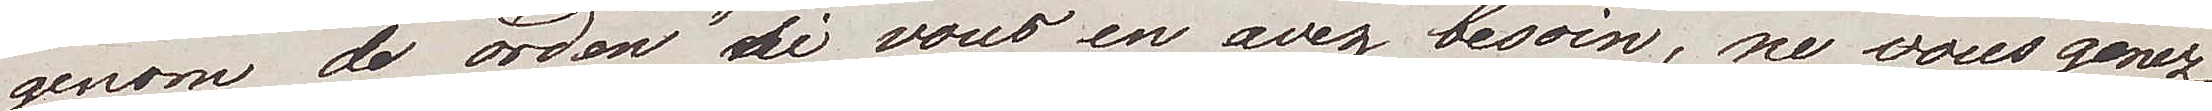genom de orden "si vous en avez besoin, ne vous genez 
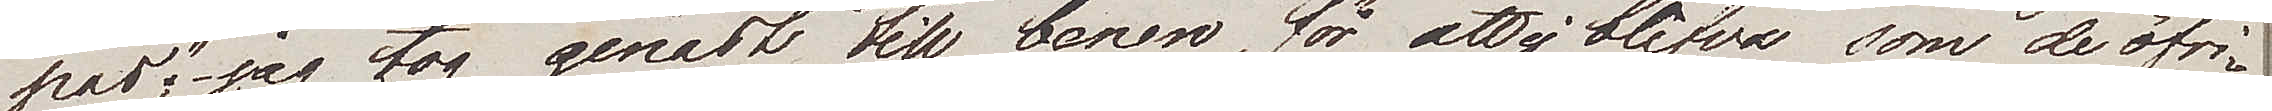pas" – jag tog genast till benen, för att ej blifva som de öfri¬
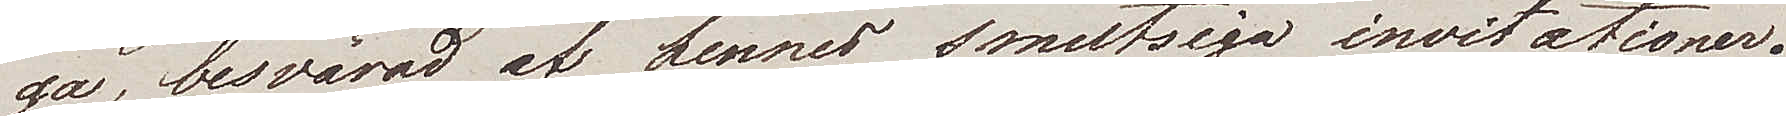ga, besvärad af hennes smutsiga invitationer.
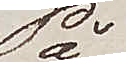På
